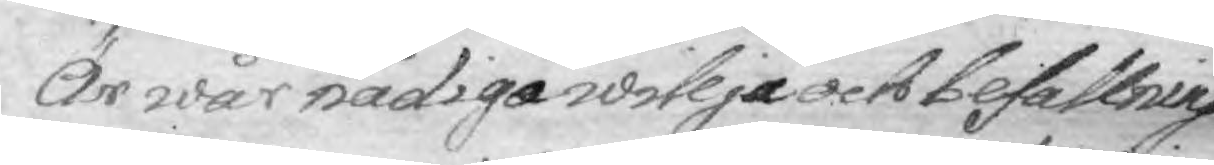Är wår nådiga willja och befallning
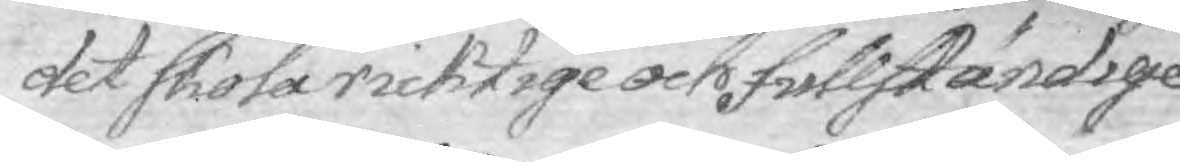det skola ricktige och fullständige
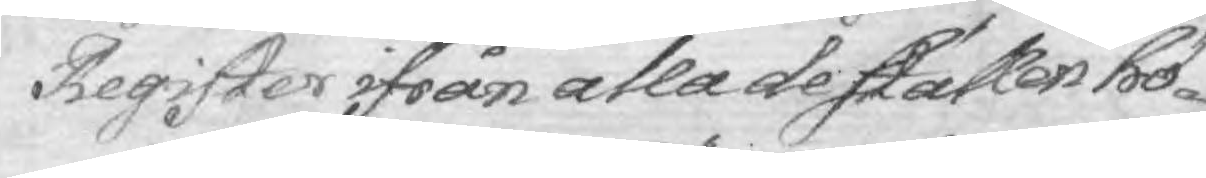Register ifrån alla de ställen hö¬
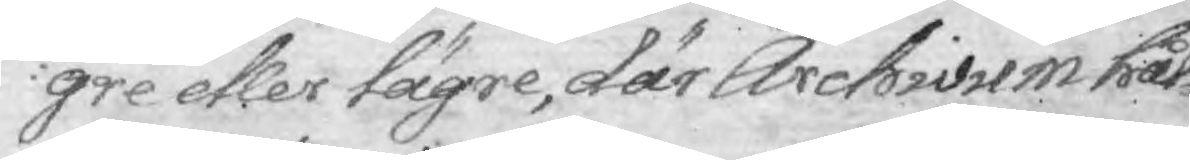gre eller tägre, där Archivum hål¬
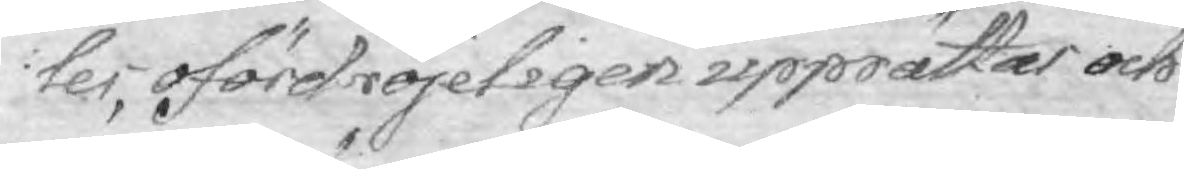les, ofördröjeligen upprättar och
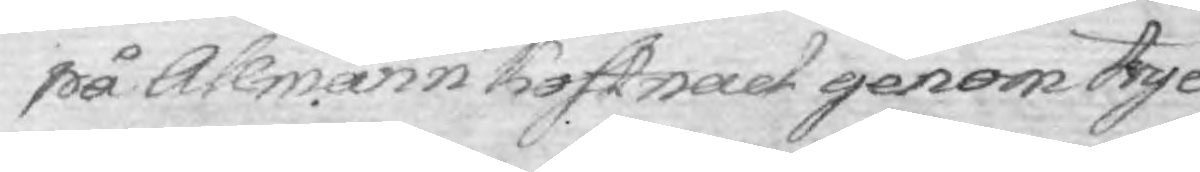på Allmänn kostnad genom tyc¬
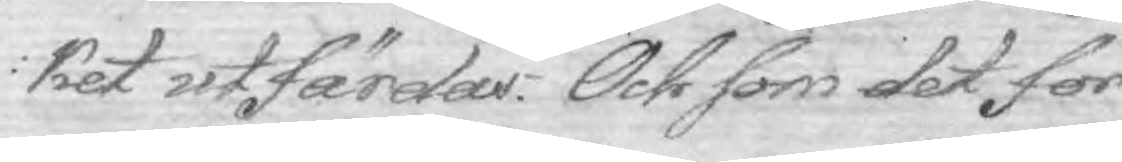ket utfärdas. Och som det för
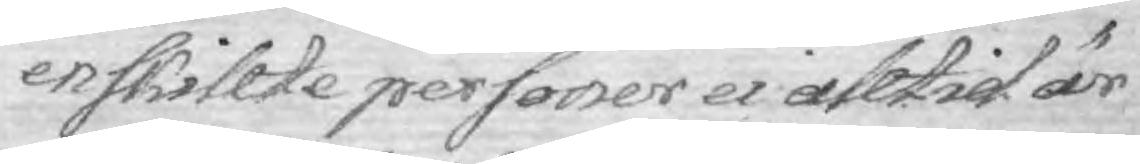enskillte personers ei alltid är
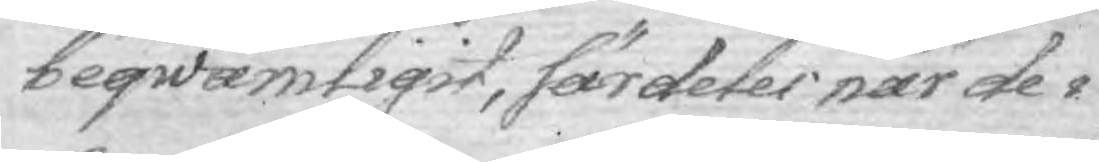beqwämligit, särdeles när de i
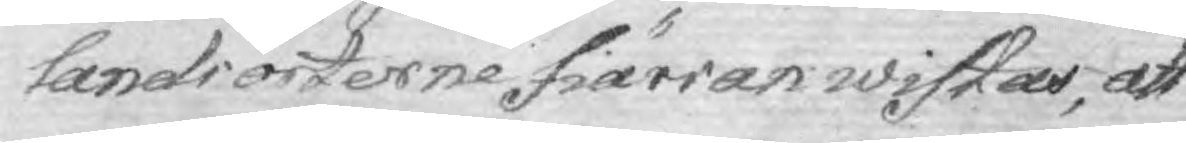landsorterne fiärran wistas, att
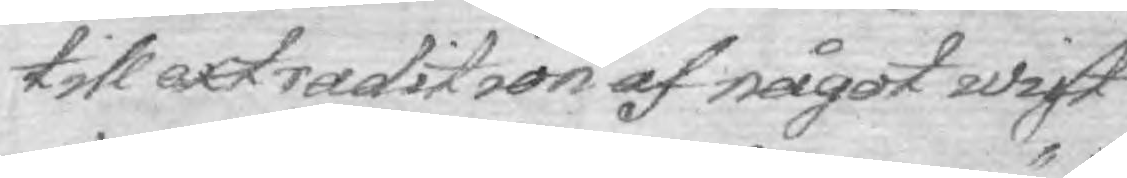till extradition af något wist
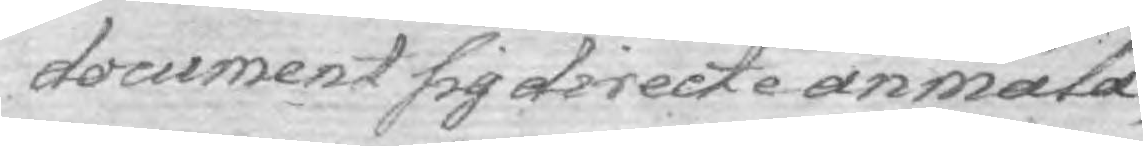document sig directe annäla.
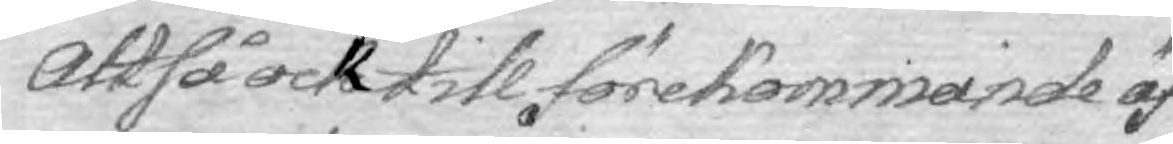Att så ock till förekommande äf¬
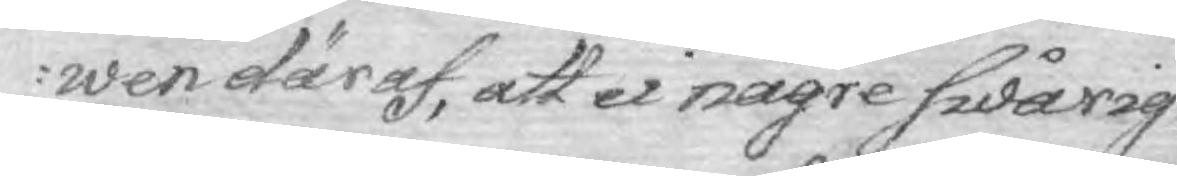wen däraf, att ei någre swårig¬
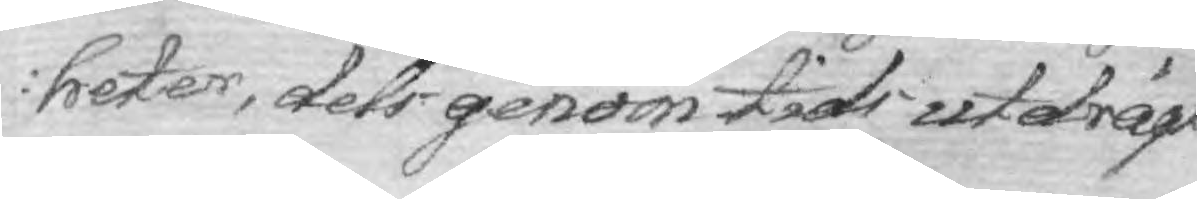heter, dels genom tids utdrägt
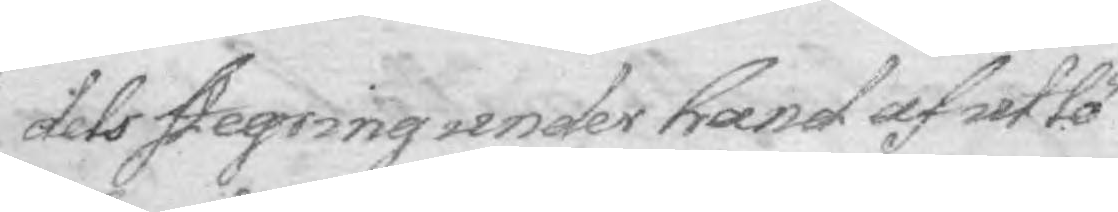dels stegring under hand af utlö¬
